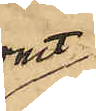rmt
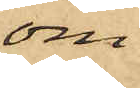om
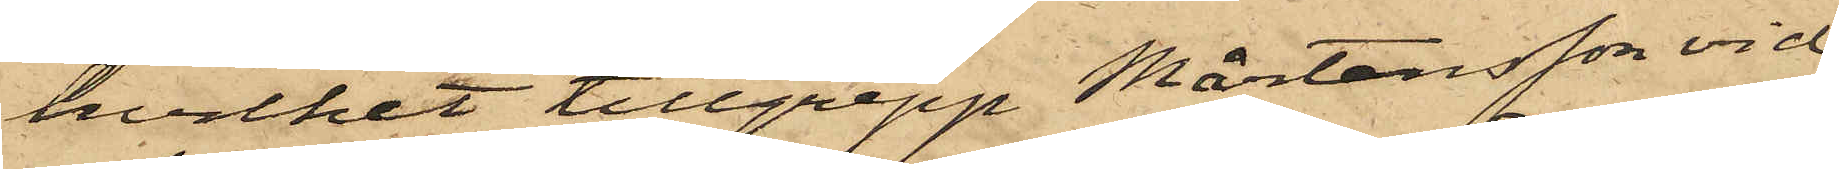hvilket tillgrepp Mårtensson vid
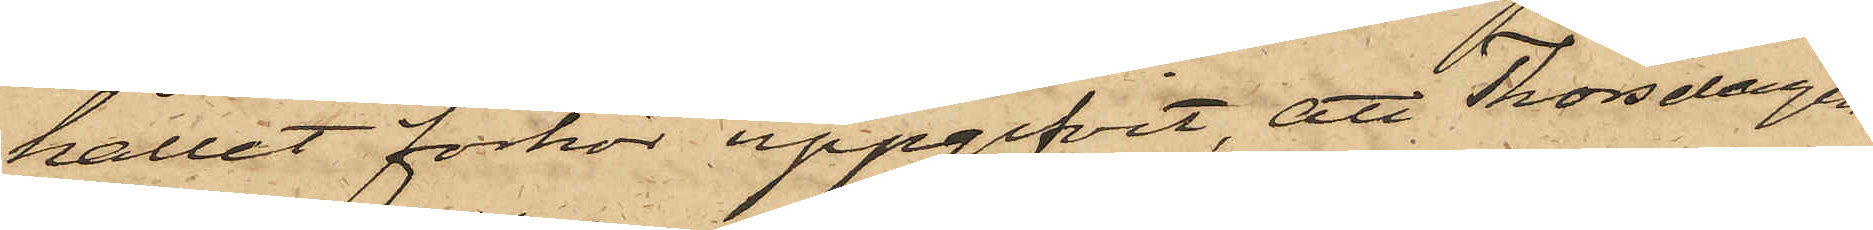hållit förhör uppgifvit, att Thorsdagen
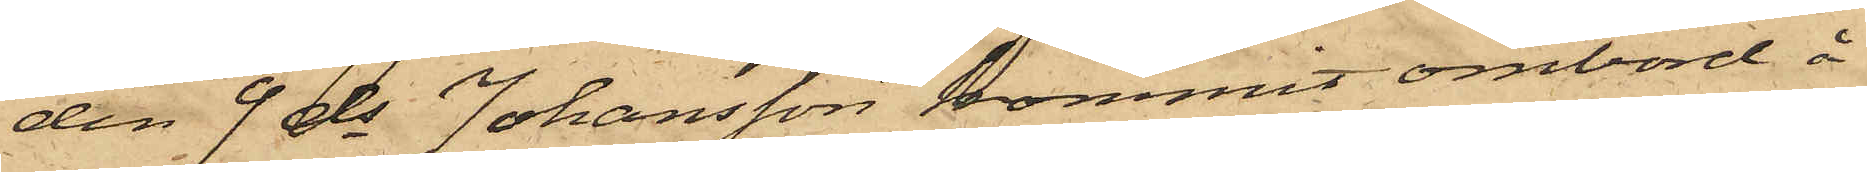den 9 ds Johansson kommit ombord å
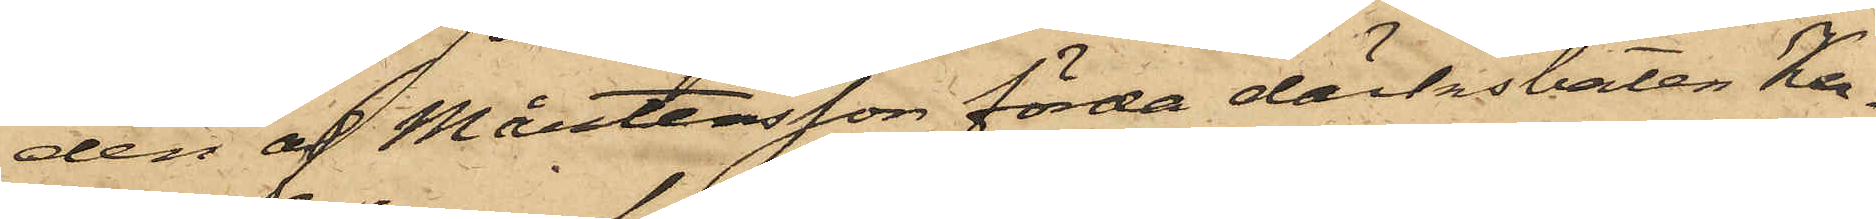den af Mårtensson förda däcksbåten Ka¬
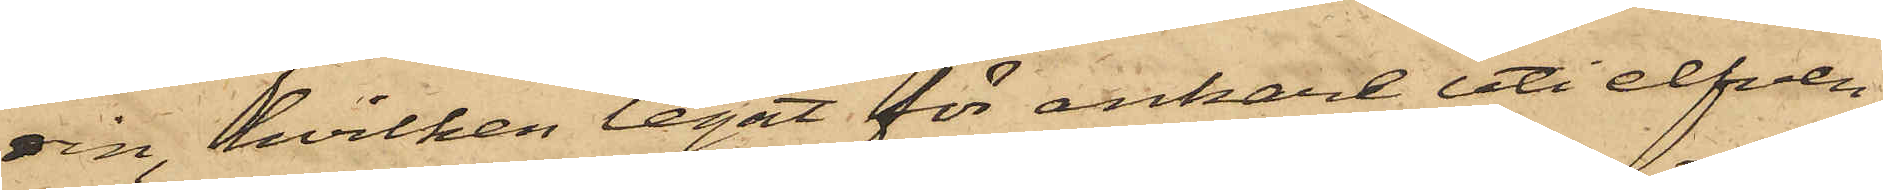rin, hvilken legat för ankare uti elfven
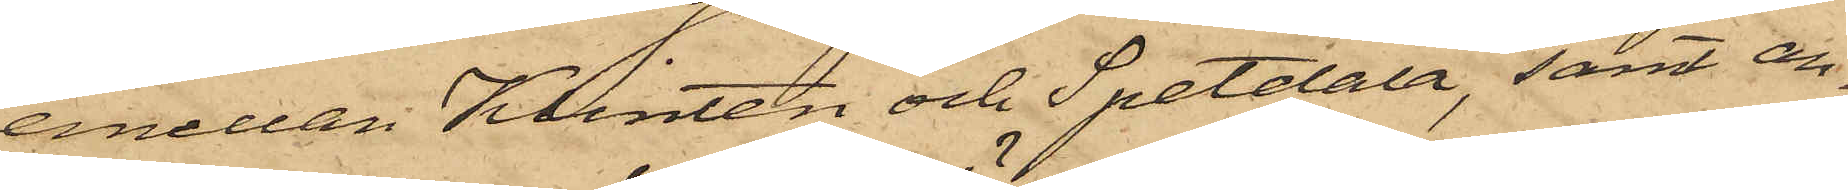emellan Klinten och Spetdala, samt an¬
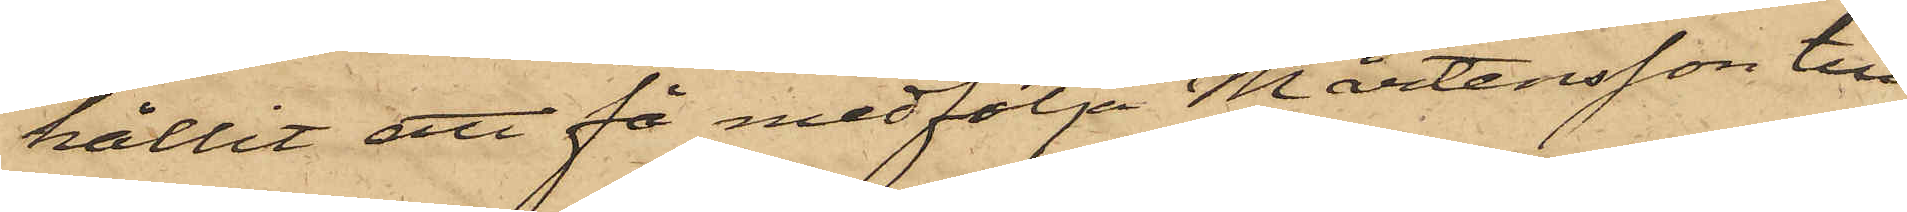hållit att få medfölja Mårtensson till
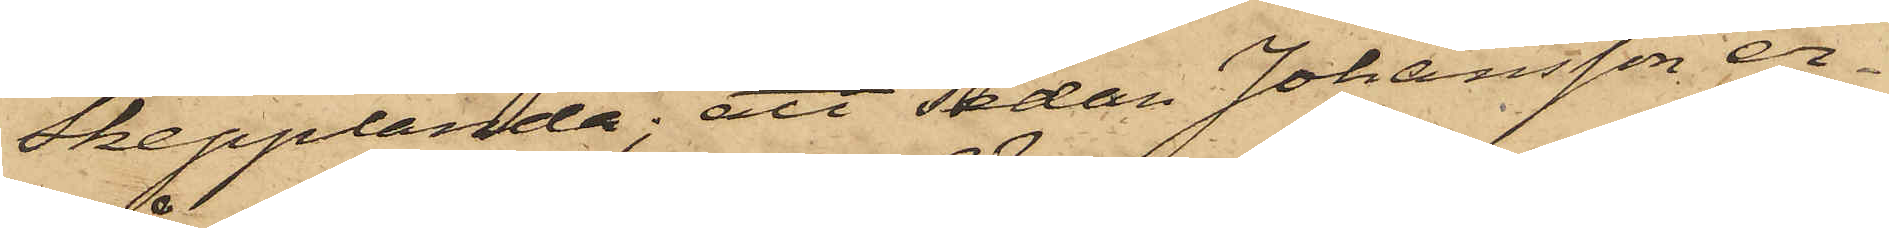Skepplanda; att sedan Johansson er¬
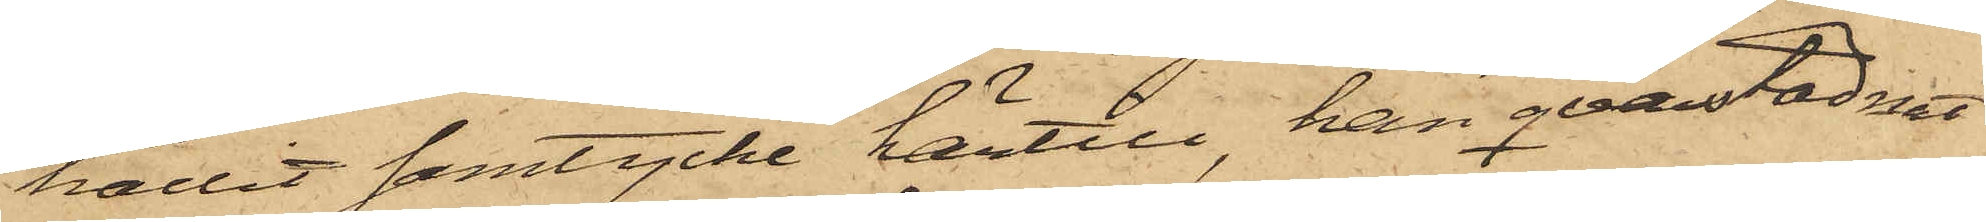hållit samtycke härtill, han qvarstadnat
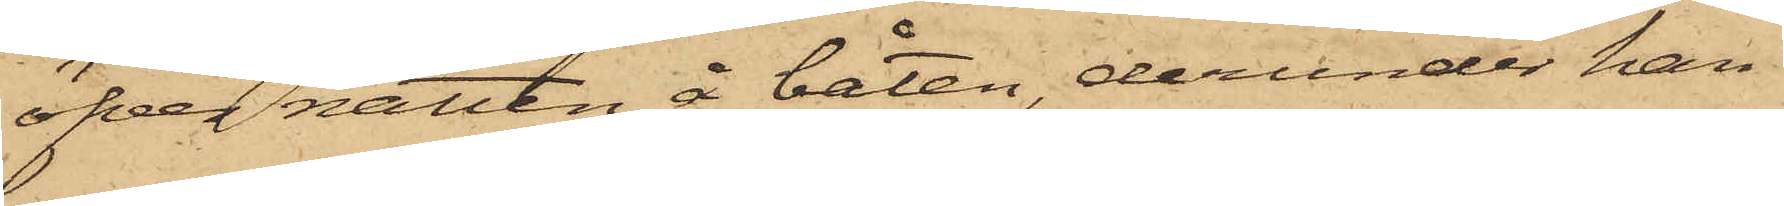öfver natten å båten, derunder han
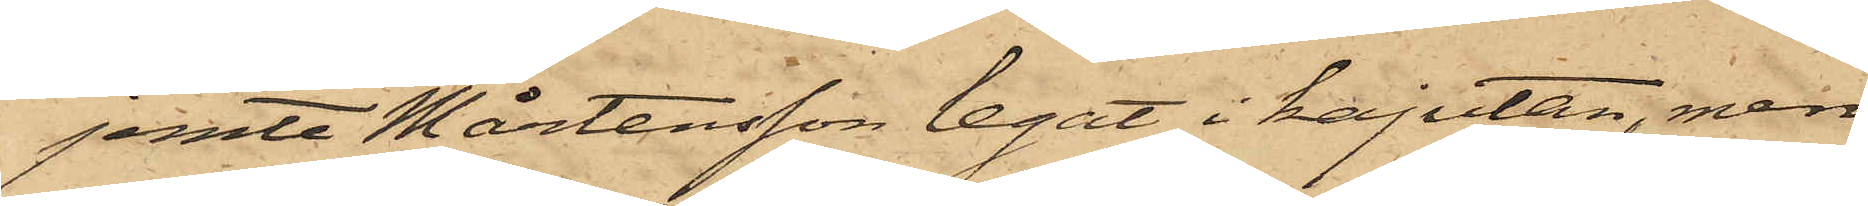jemte Mårtensson legat i kajutan, men
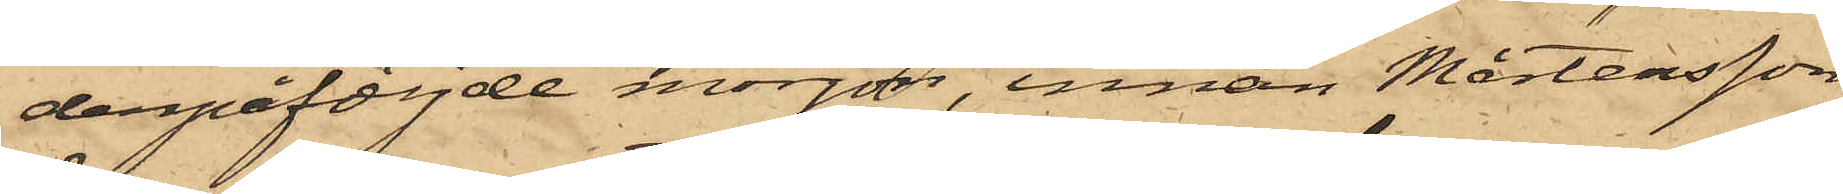derpåföljde morgon, innan Mårtensson
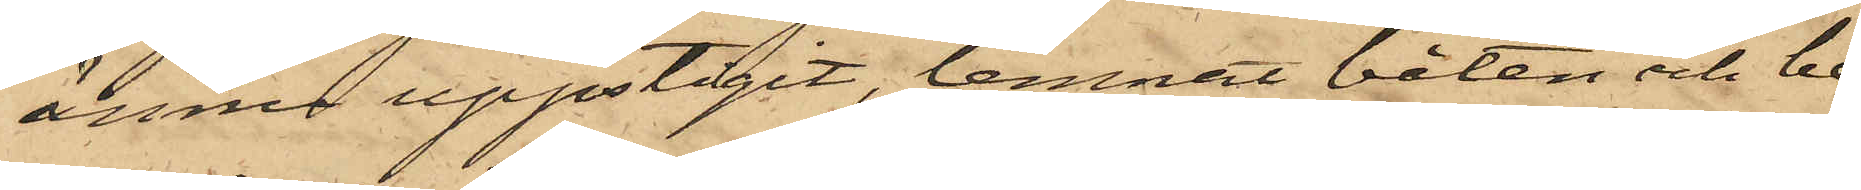ännu uppstigit, lemnat båten och be¬
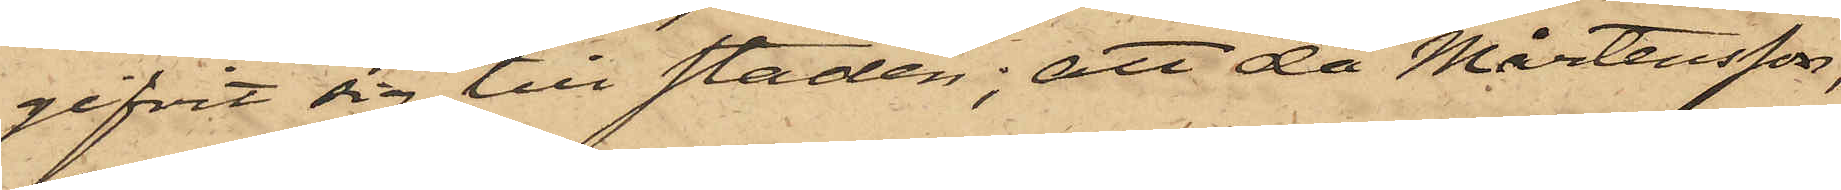gifvit sig till staden; att då Mårtensson,
